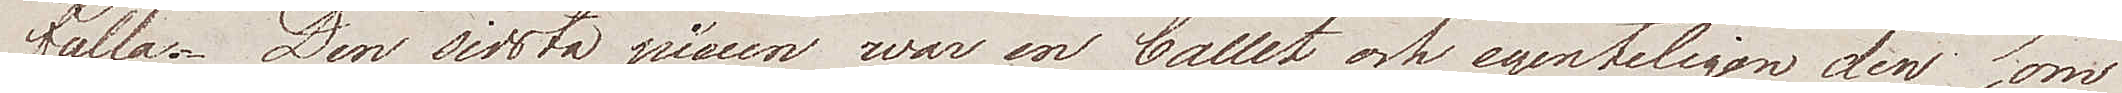fulla. Den sidsta piecen war en ballet och egenteligen den som
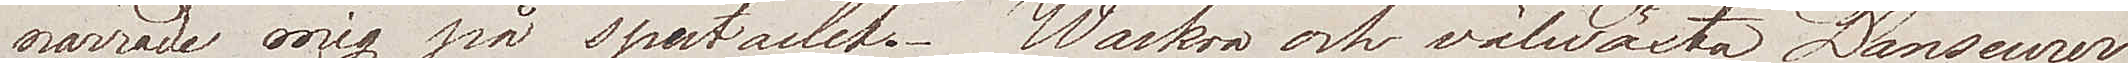narrade mig på spectaclet. Wackra och välwäxta Danseurer
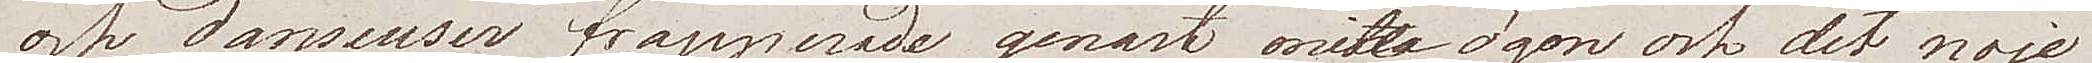och danseuser frapperade genast mina ögon, och det nöje
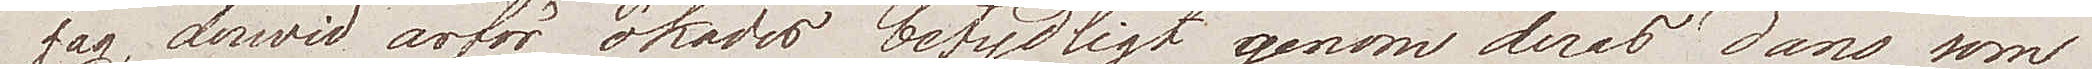jag, dervid ärför ökade betydligt genom deras dans som
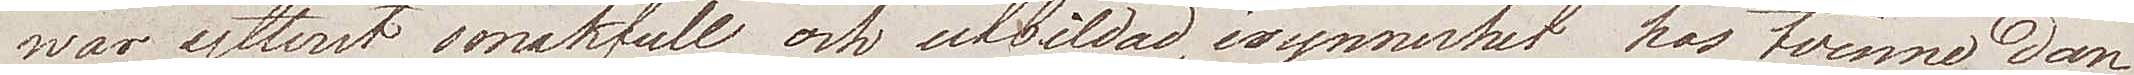war ytterst smakfull och utbildad, isynnerhet hos tvenne dan¬
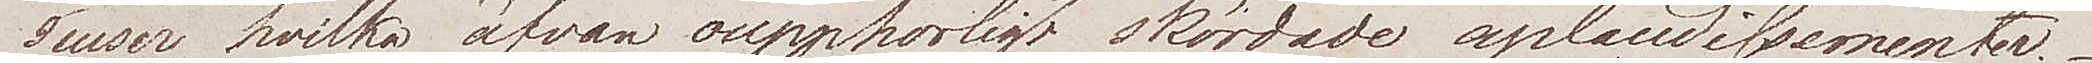seuser, hwilka äfwen oupphörligt skördade aplaudissementer.
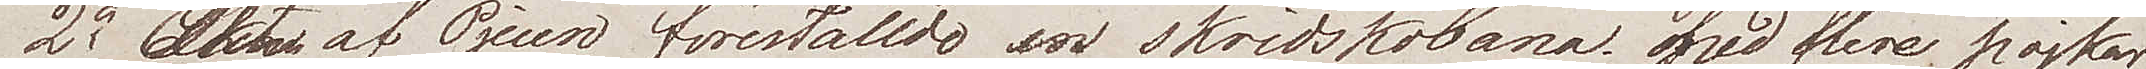2o Akten af Pjecen föreställde en skridskobana med flere pojkar
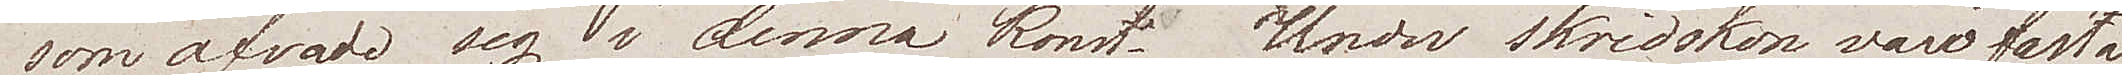som öfvade sig i denna konst. Under skridskon voro fästa¬
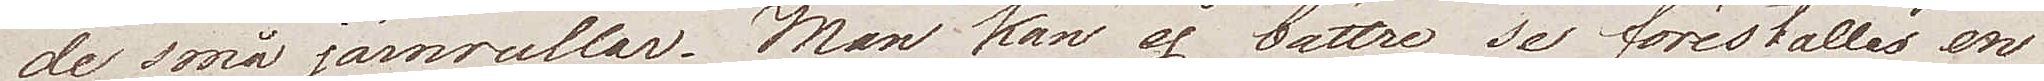de små järnrullar. Man kan ej bättre se föreställes en
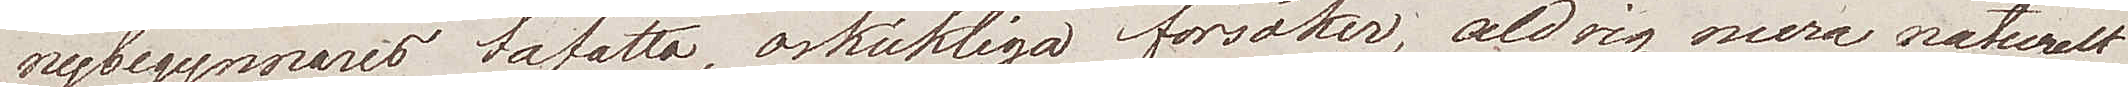nybegynnares tafatta, oskickliga försöker, aldrig mera naturelt
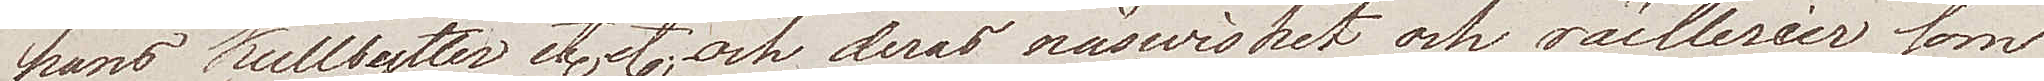hans kullbytter etc etc och deras näswishet och rällerier som
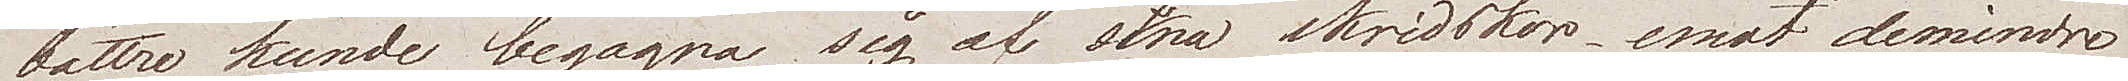bättre kunde begagna sig af sina skridskor emot demindre 
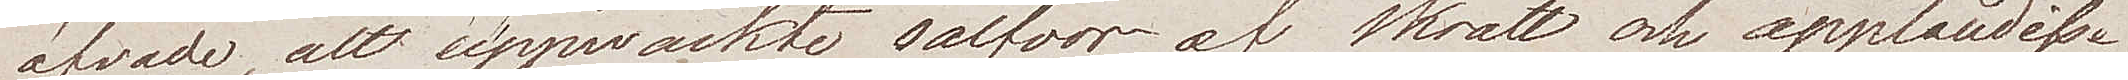öfvade, altt upwäckte salvor af skratt och aplaudisse¬
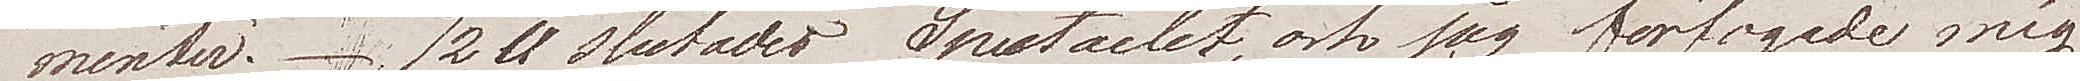menter. 1/2 11 slutade Spectaclet, och jag förfogade mig
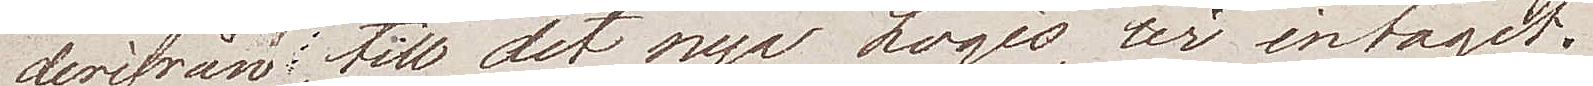derifrån, till det nya logis, vi intagit.
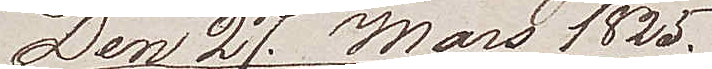Den 27. Mars 1825.
